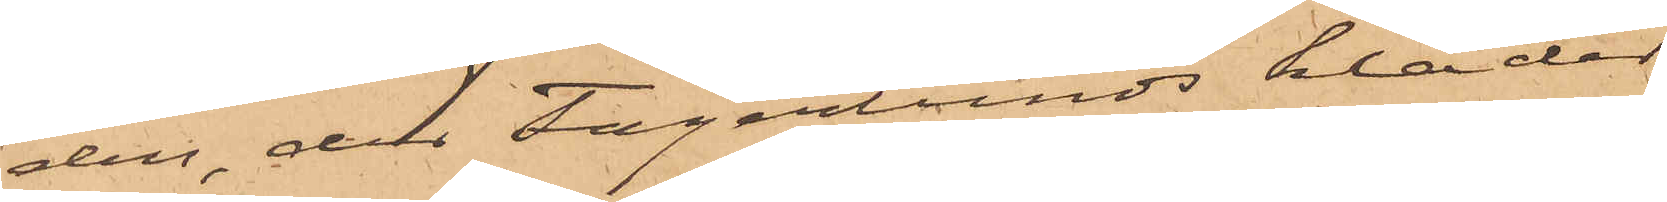den, dels Fagerlunds kläder
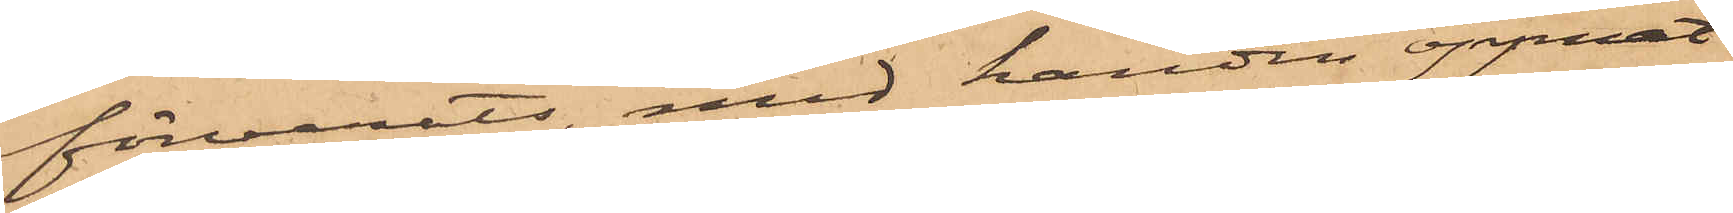förvarats, med handen öppnat
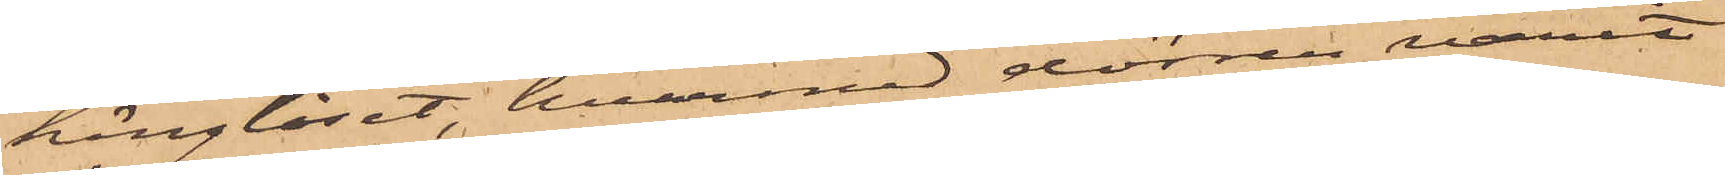hänglåset, hvarmed dörren varit
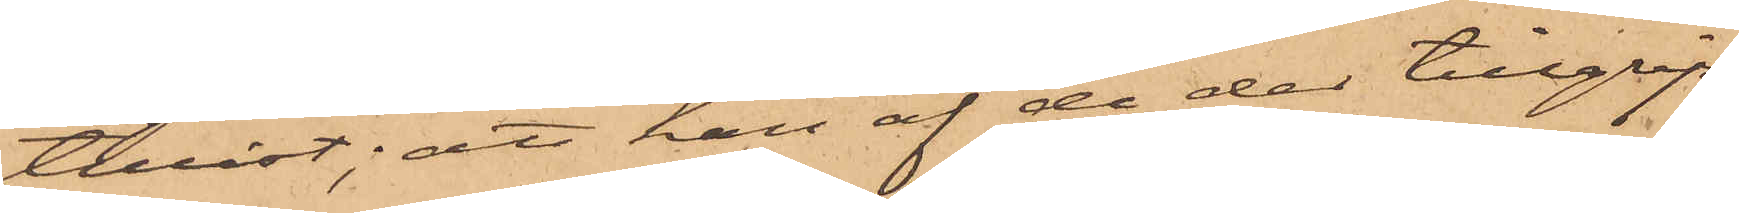tilåst; att han af de der tillgrip¬
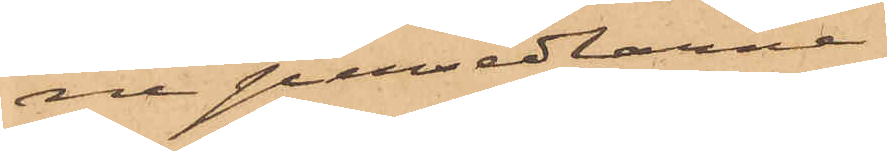ne persedlarne
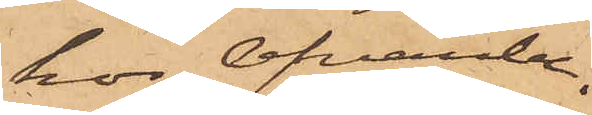hos ofvanbe¬
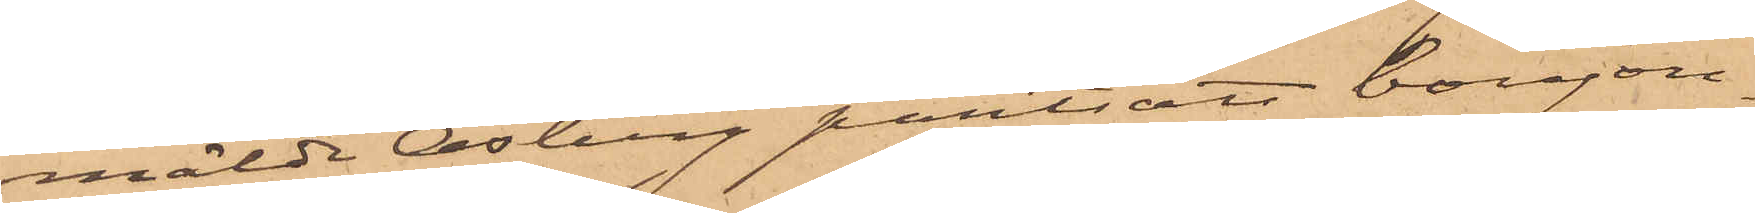mälde Osberg pantsatt bonjou¬
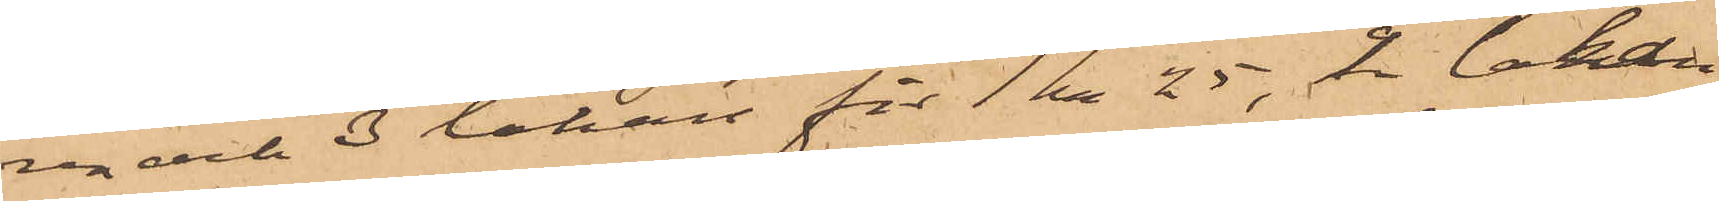ren och 3 lakan för 1 kr 25, 2 lakan
